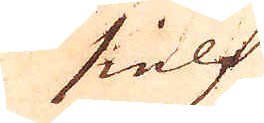sielf
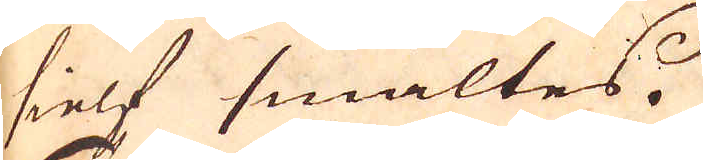sielf smältes
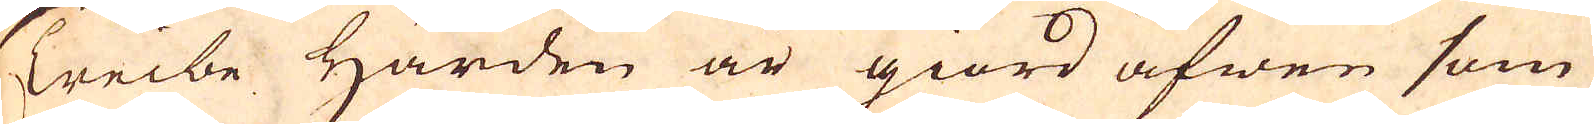Treibe Härden är giord äfwen som
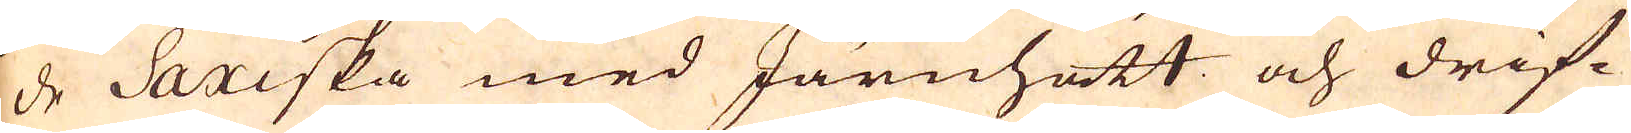de Saxiska med Järnhatt och drif-
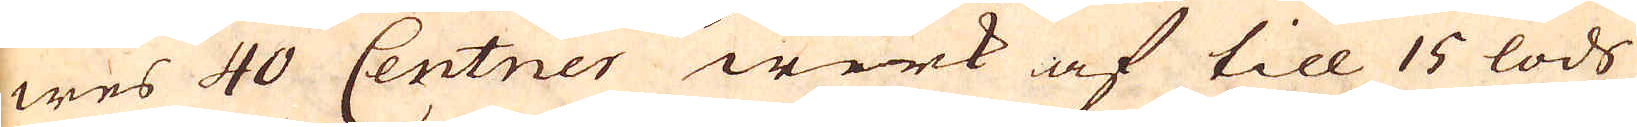wes 40 Centner werk af till 15 lods
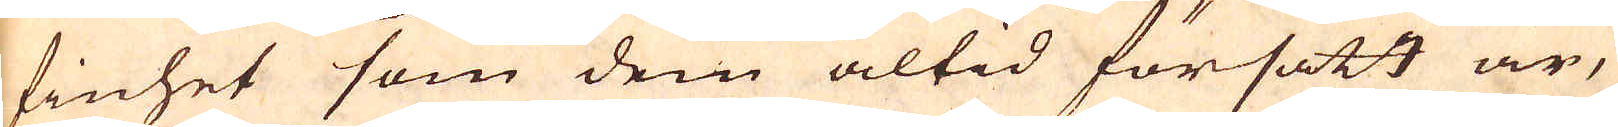finhet som dem altid försatt är,
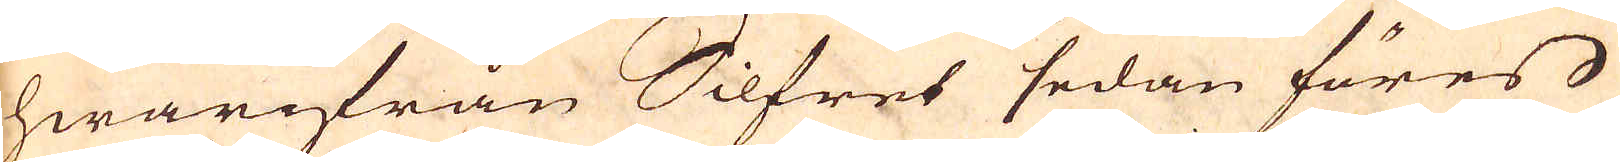hwarifrån Silfret sedan föres
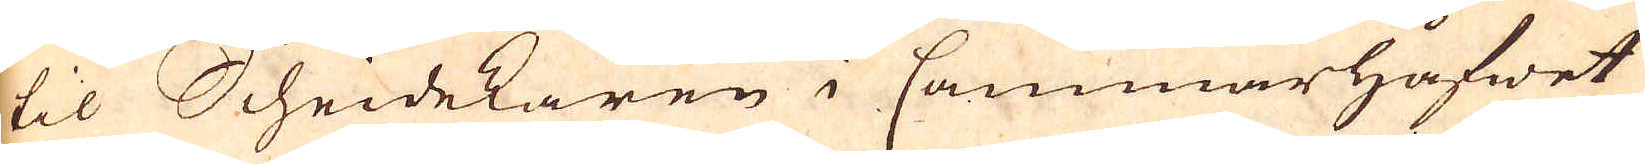til Scheidekaren i Cammarhåfwet
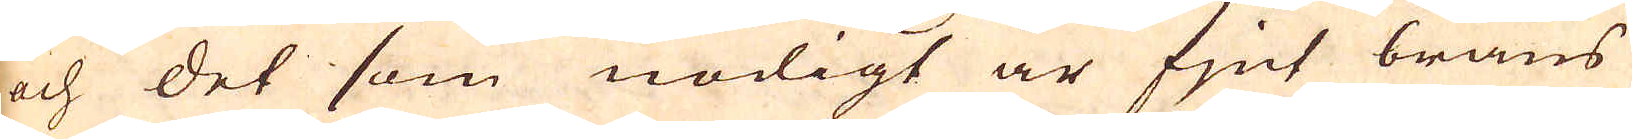och det som nödigt är fjnt bräns
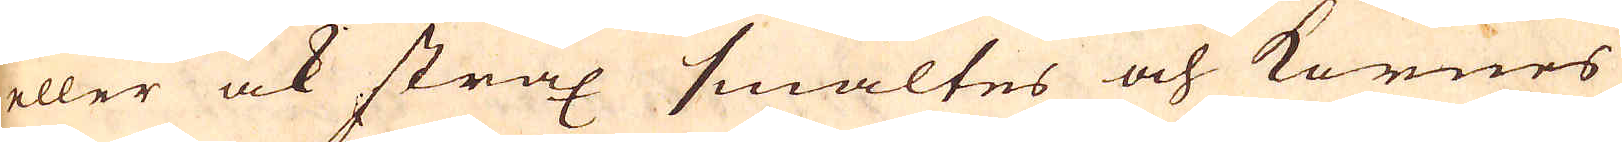eller ock strax smältes och kornes
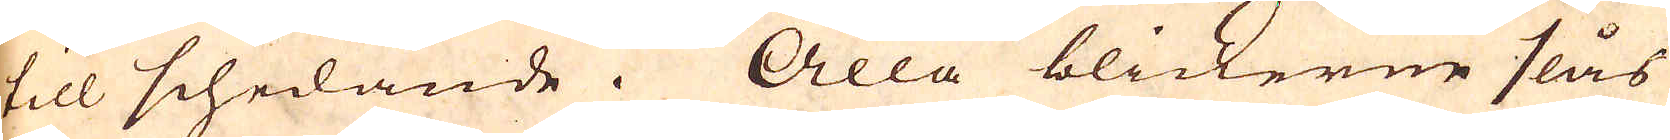till schedande. Alla blickerne slås
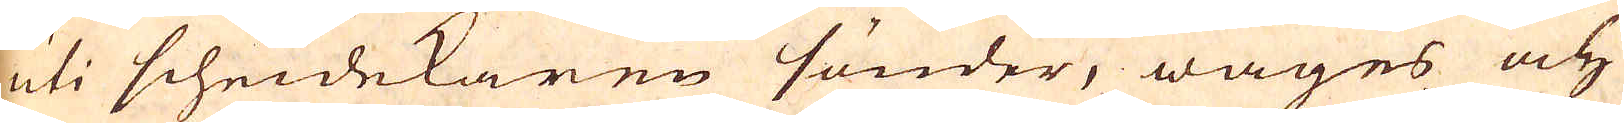uti scheidekaren sönder, wäges och
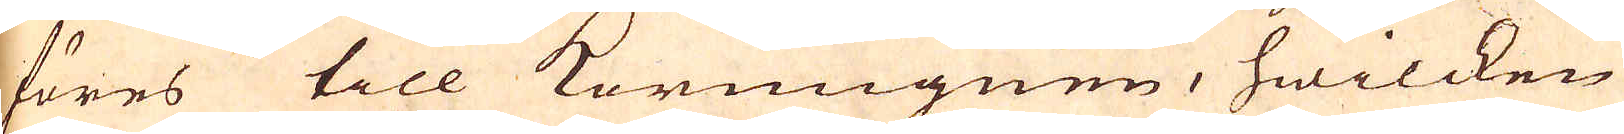föres till kornugnen, hwilcken
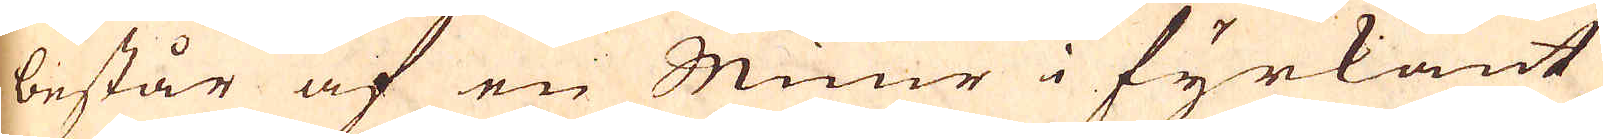består af en Muur i fyrkant
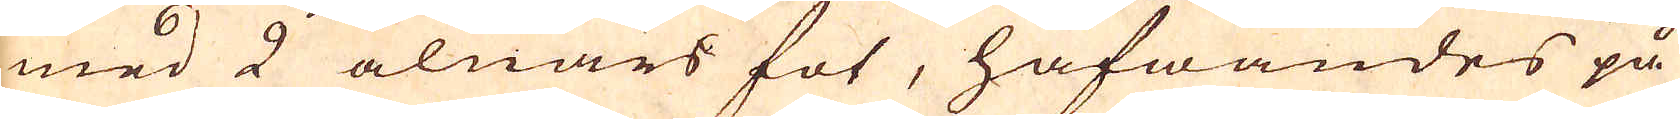med 2 alnars fot, hafwandes på
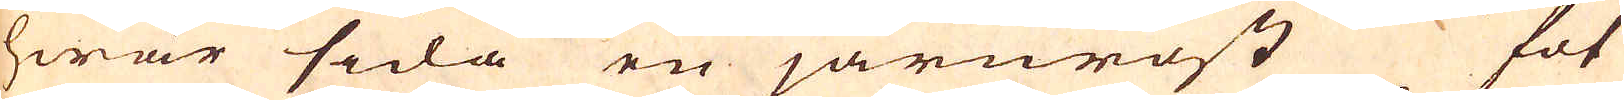hwar sida en järnrost fot
